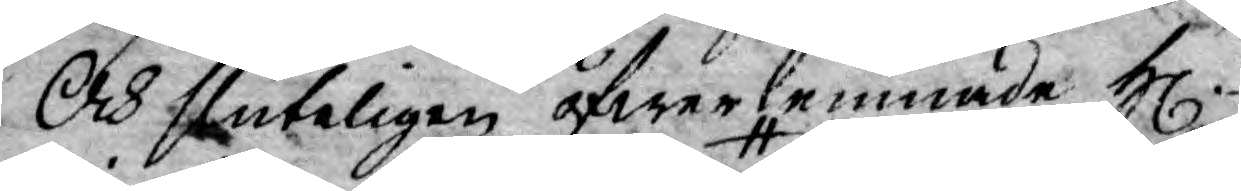Och sluteligen öfwerlemnade H.
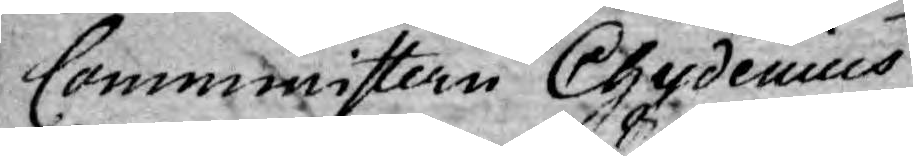Comministern Chydenius
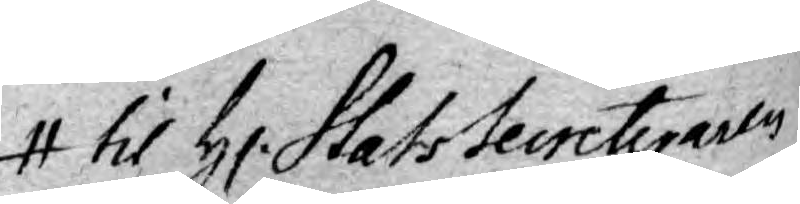til H. StatSecreteraren
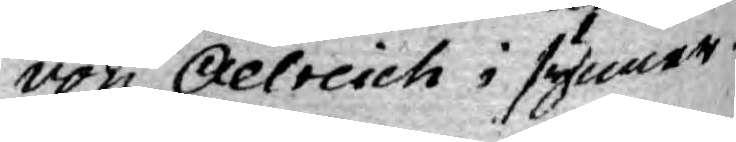von Oelreich i synner¬
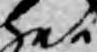het
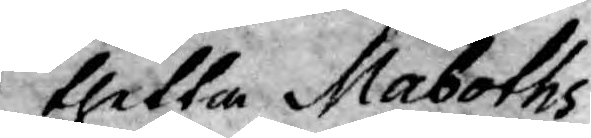thetta Maboths
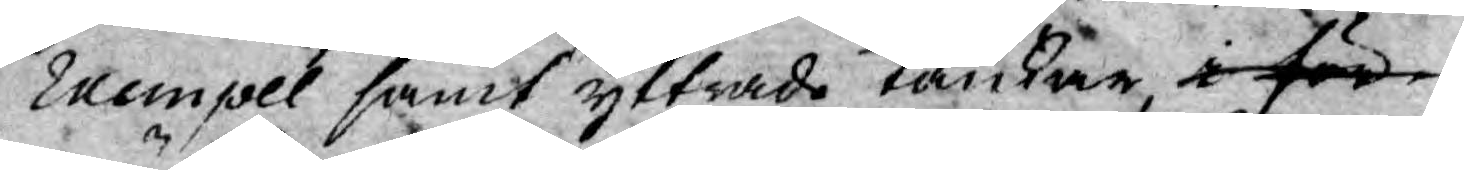Exempel samt yttrade tankar i för¬
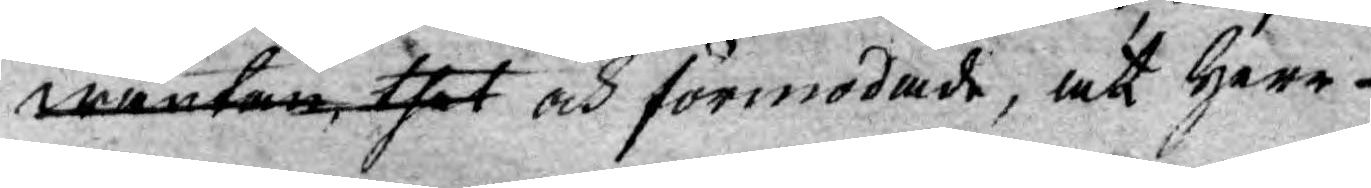wäntan thet och förmodade, at Herr
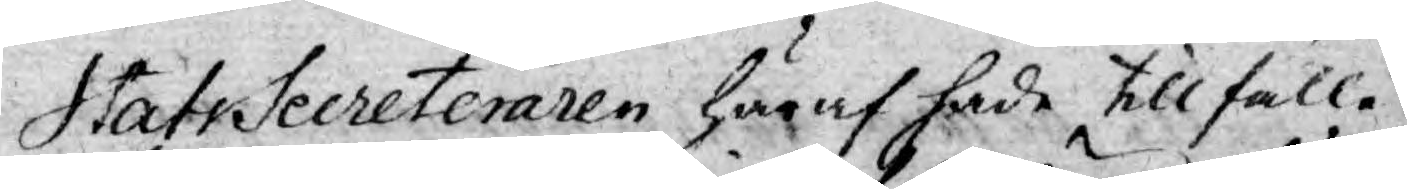StatsSecreteraren häraf hade tillfälle
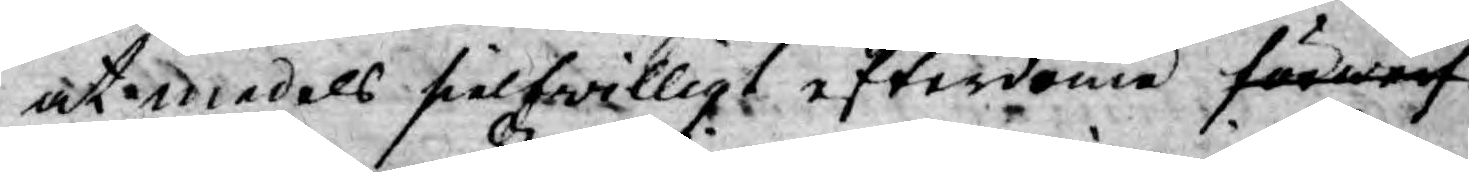at medels sielfwilligt efterdöme förwerf¬
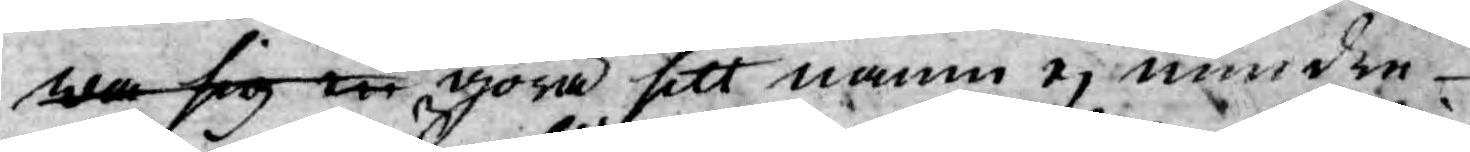wa sig en göra sitt namn ej mindre
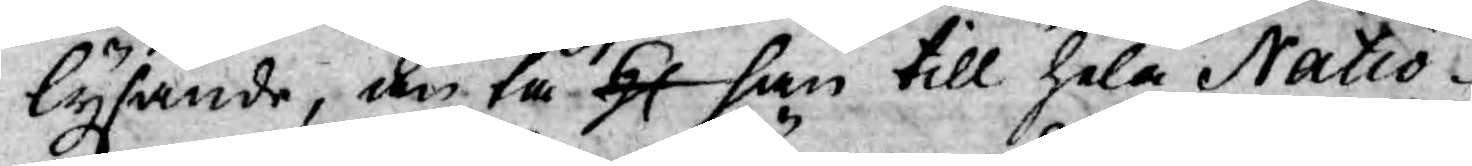lysande, än tå H han till hela Natio¬
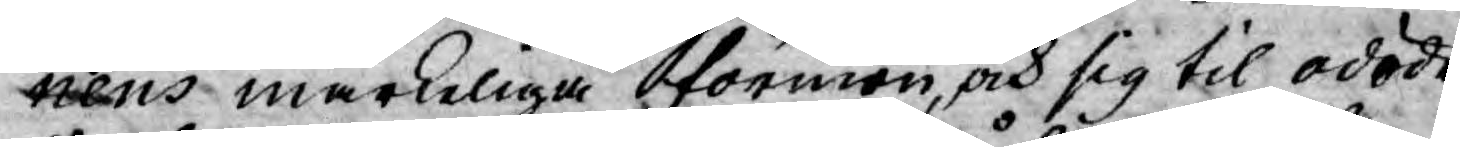nens märkeliga förmon, och sig til odöde¬
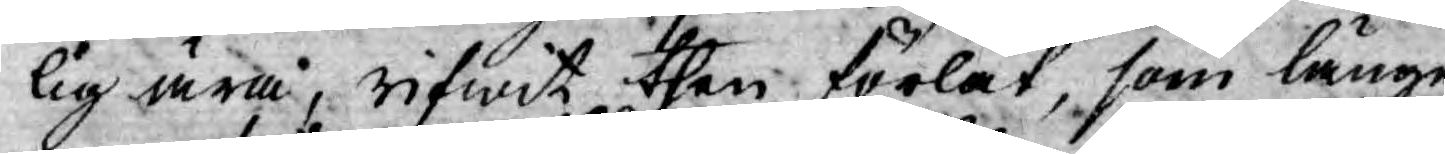lig ära, rifwit then förlåt, som länge
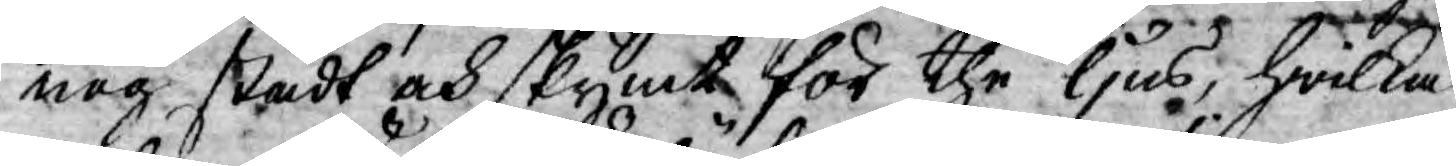nog stådt och skymt för the ljus, hwilka
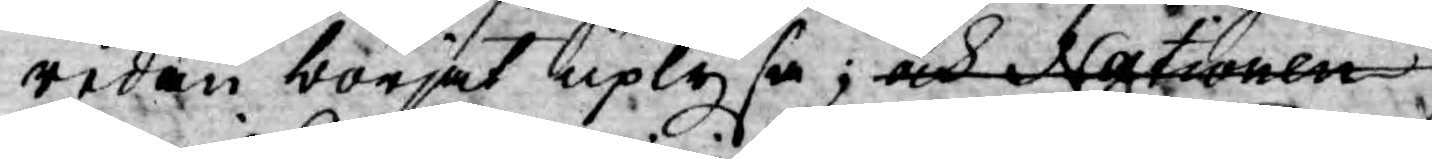redan börjat uplysa; och Nationen
